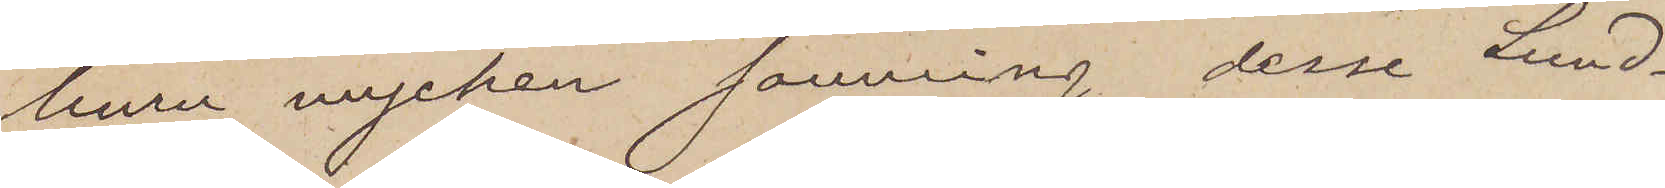huru mycken sanning desse Lund¬
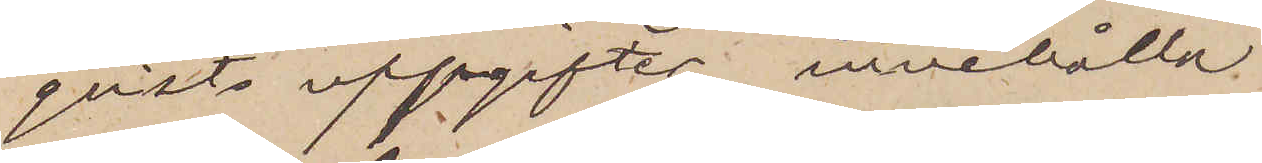qvists uppgifter innehålla
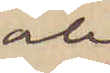och
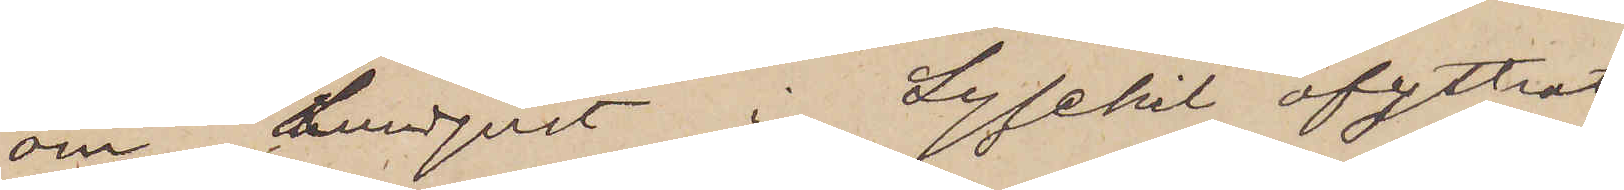om Lundqvist i Lysekil afyttrat
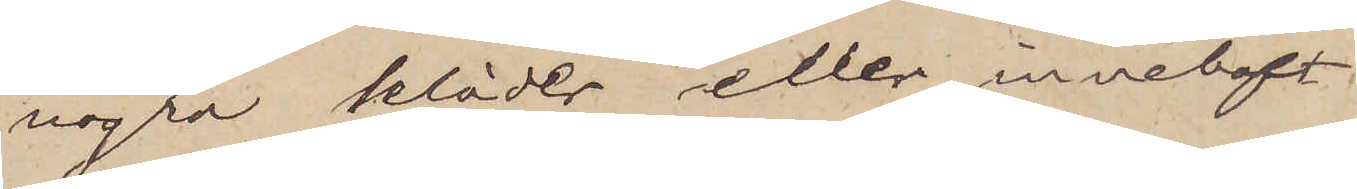några kläder eller innehaft
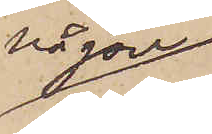någon
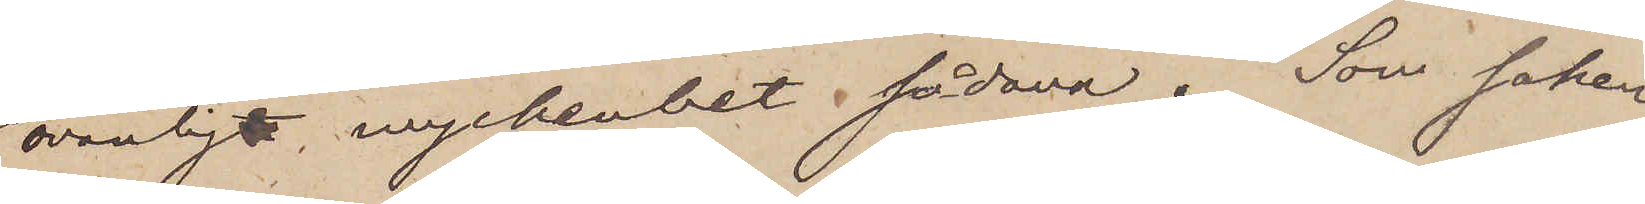ovanlig myckenhet sådana.  Som saken
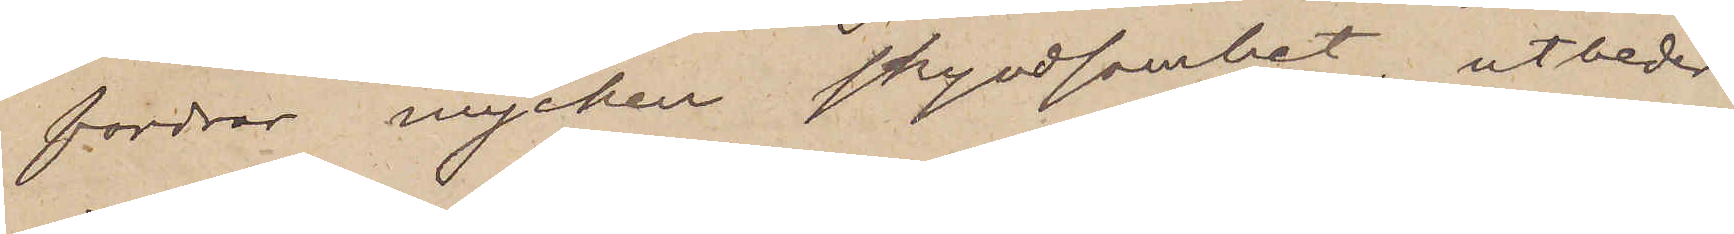fordrar mycken skyndsamhet, utbeder
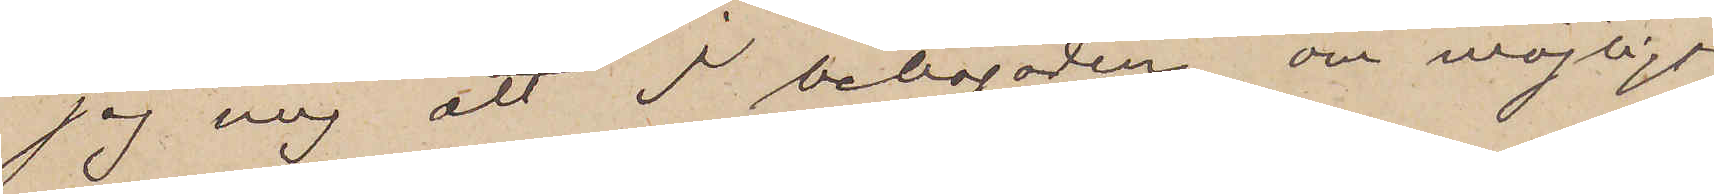jag mig att I behagaden, om möjligt
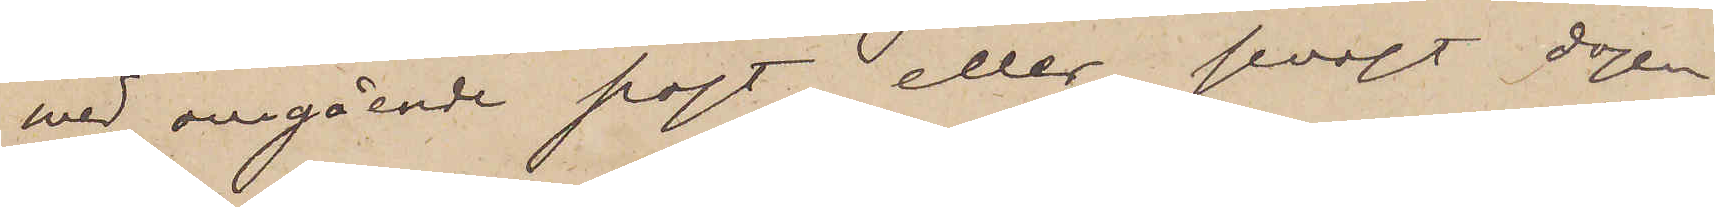med omgående post eller senast dagen
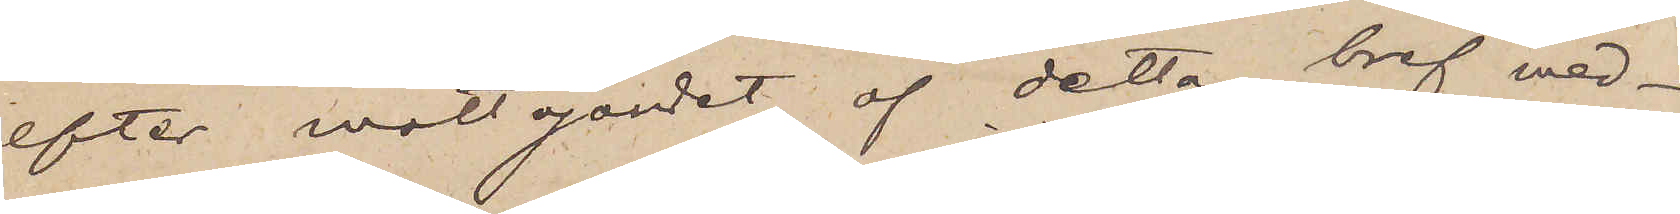efter mottgandet af detta bref med¬
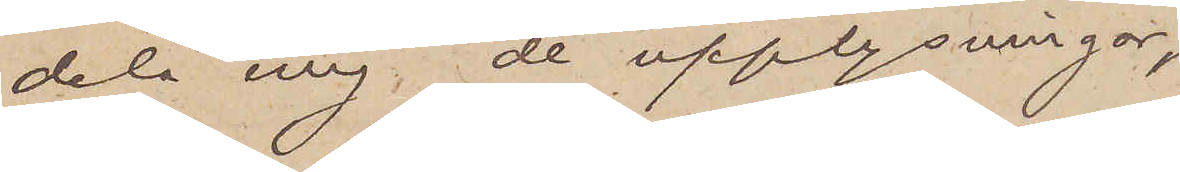dela mig, de upplysningar
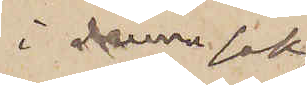i denna sak 
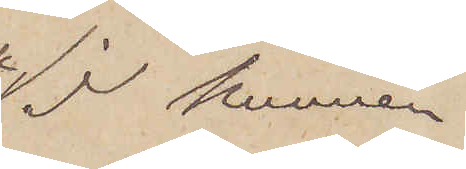I kunnen
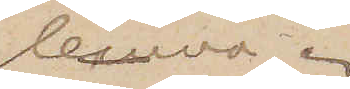lemna.
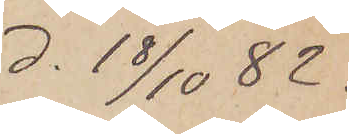d. 18/10 82.
